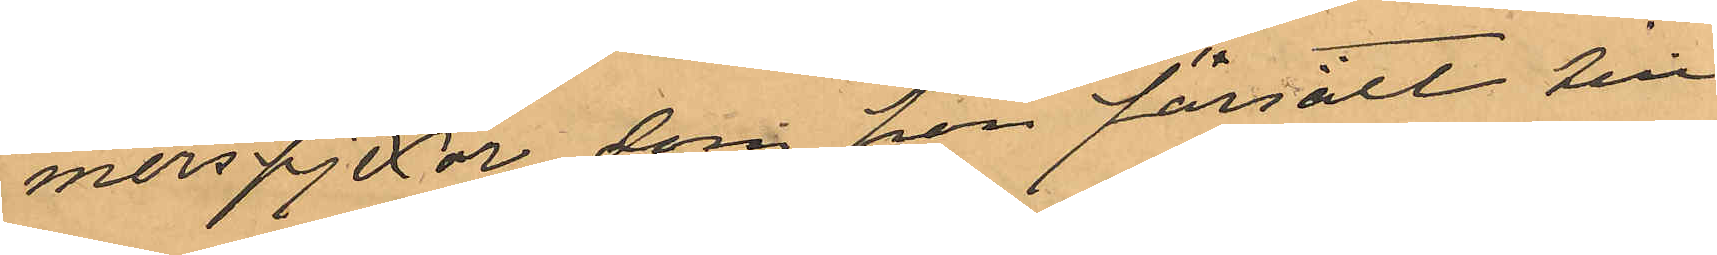merspjexor som hon försålt till
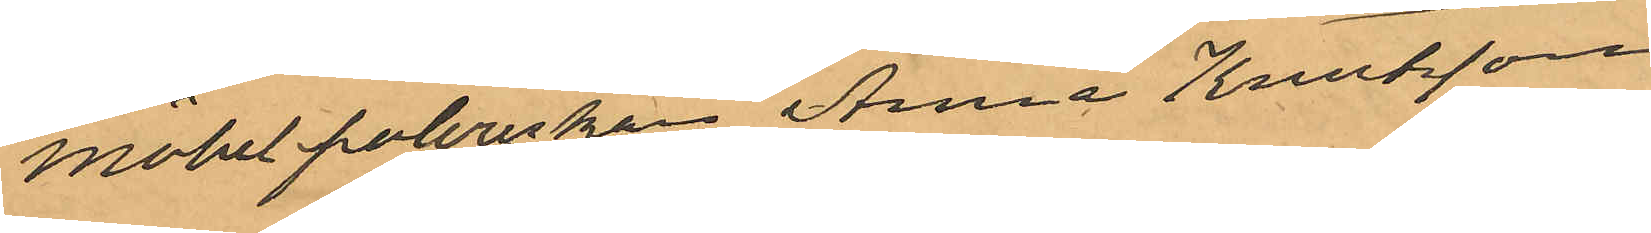möbeltpolererskan Anna Knutsson,
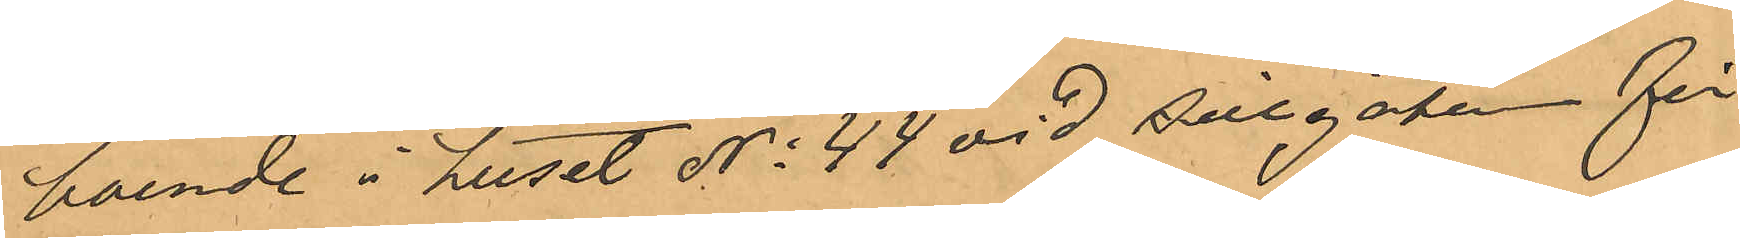boende i huset No 44 vid Sillgatan för
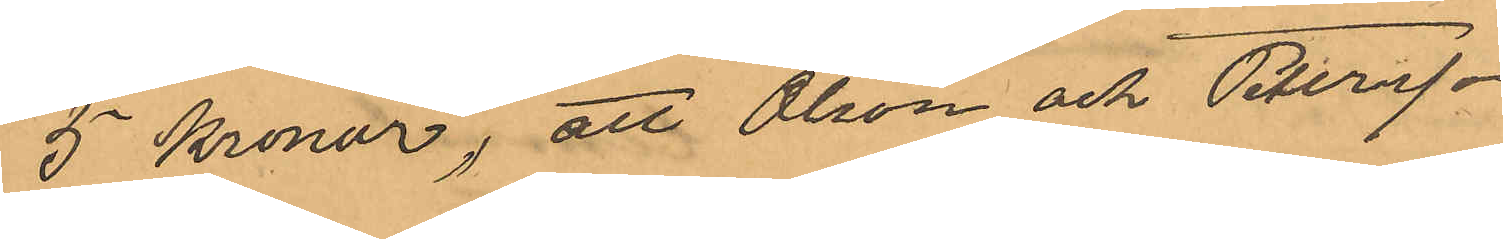5 Kronor; att Olson och Petersson
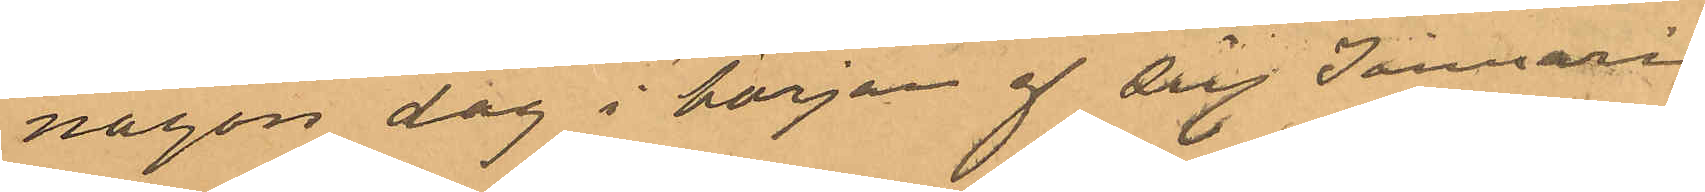någon dag i början af sistl Januari
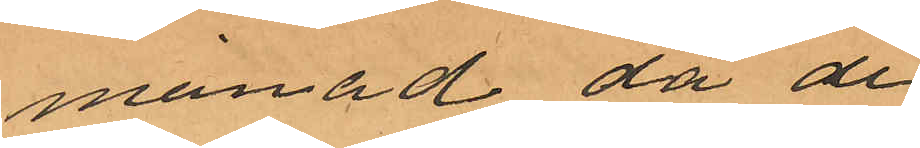månad då de
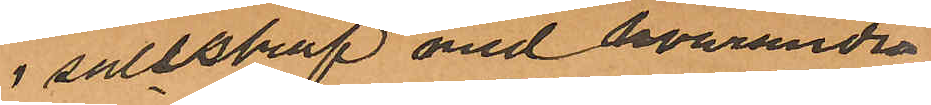i sällskap med hvarandra
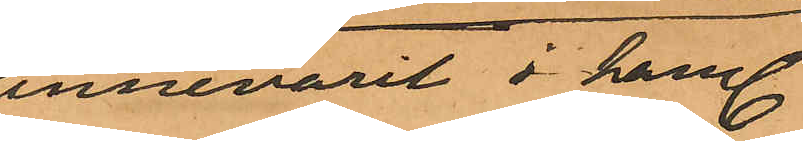innevarit i handl
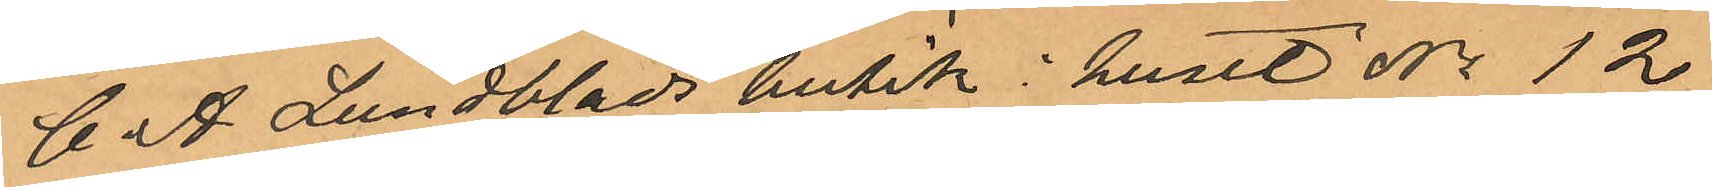C. A. Lundblads butik i huset No 12
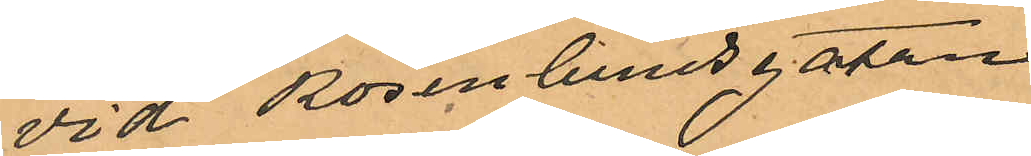vid Rosenlundsgatan
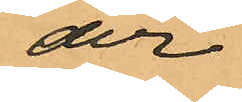der
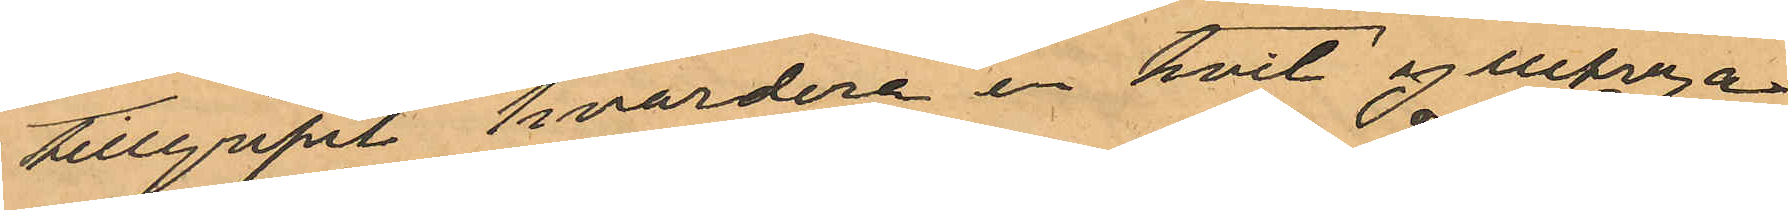tillgripit hvardera en hvit ylletröja
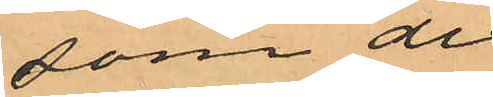som de
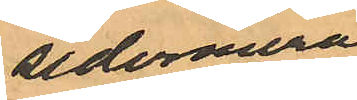sedermera
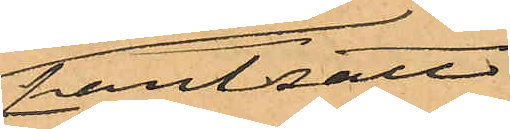pantsatt
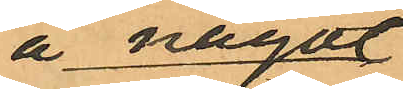å något
